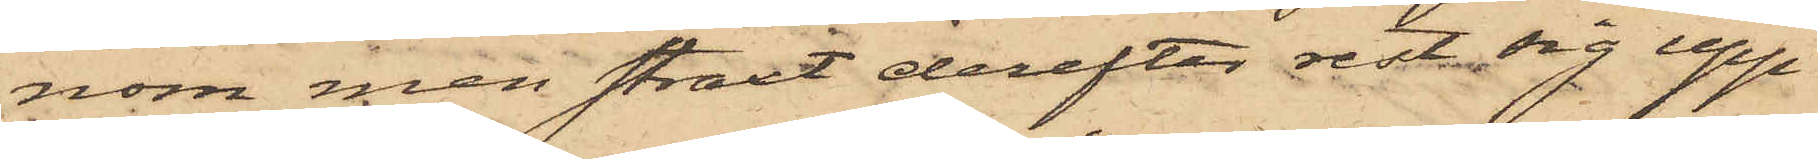nom men straxt derefter rest sig upp
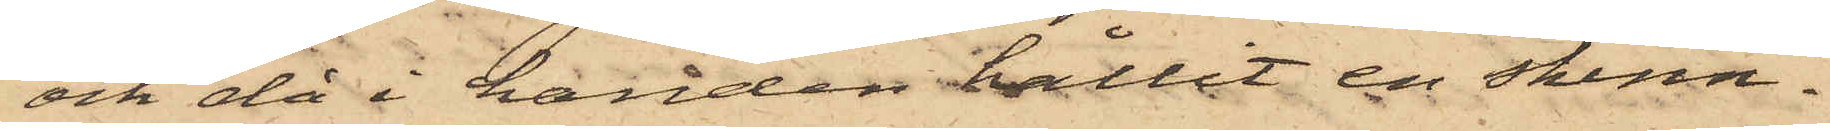och då i handen hållit en skinn¬
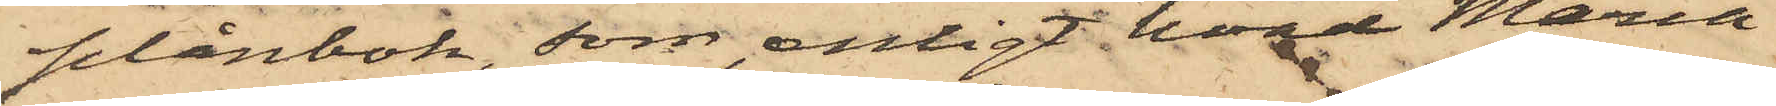plånbok, som, enligt hvad Maria
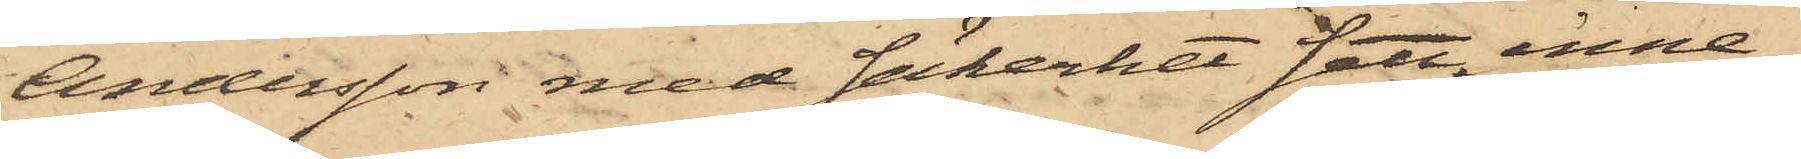Andersson med säkerhet sett, inne¬
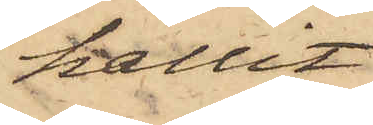hållit
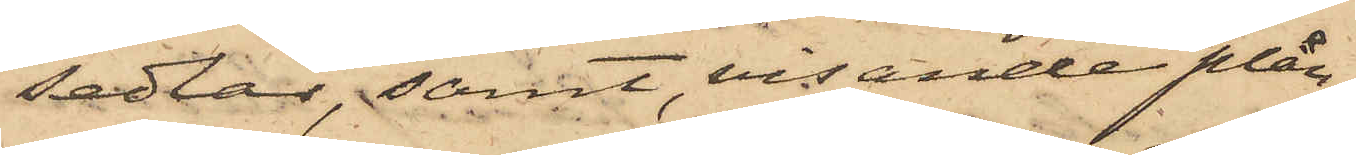sedlar, samt, visande plån¬
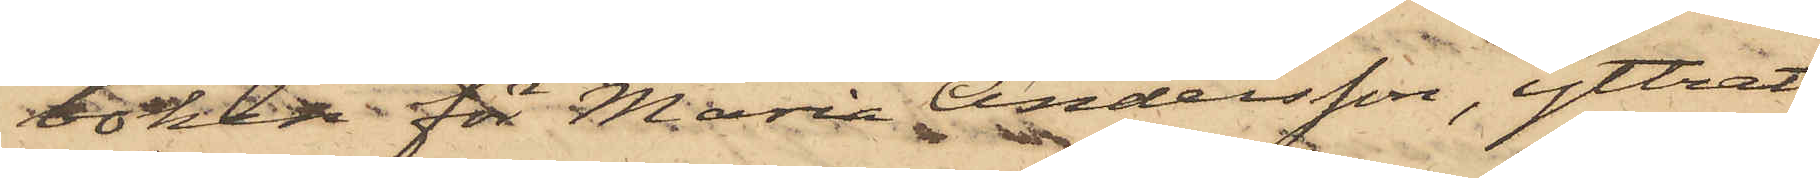skan för Maria Andersson, yttrat
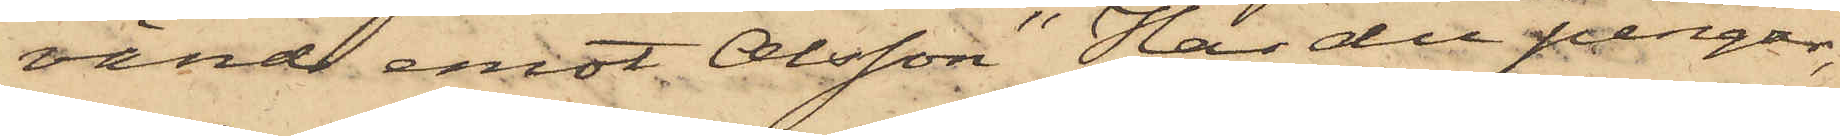vänd emot Olsson "Har du pengar,
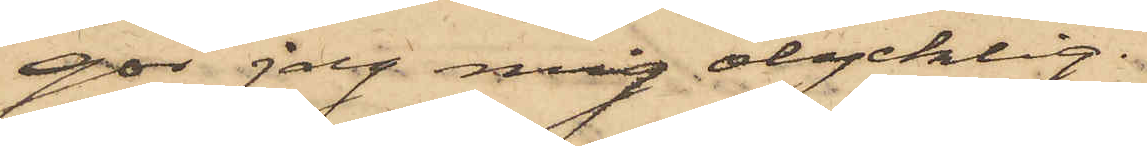gör jag mig olycklig".
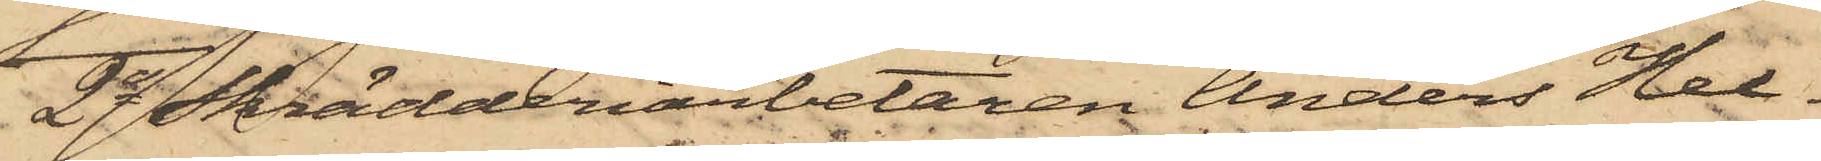2o Skrädderiarbetaren Anders Hel¬
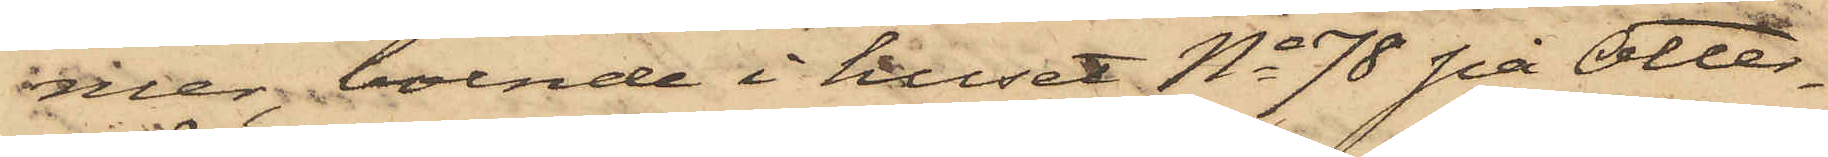mer, boende i huset No 78 på Otter¬
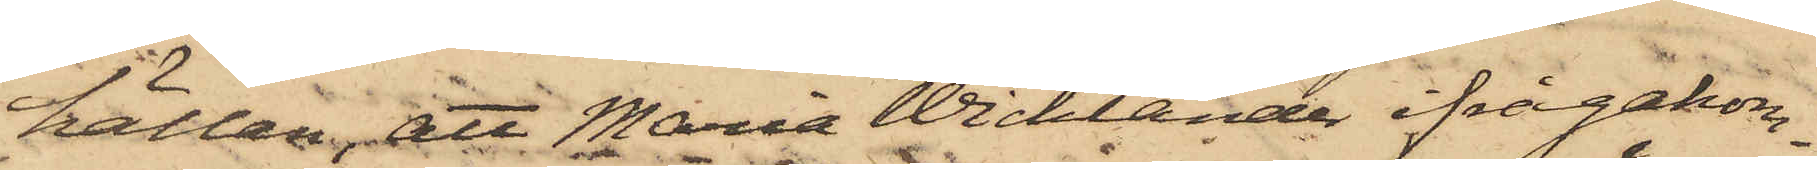hållen, att Maria Wicklander ifrågakom¬
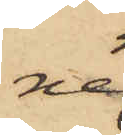ne
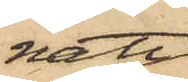natt
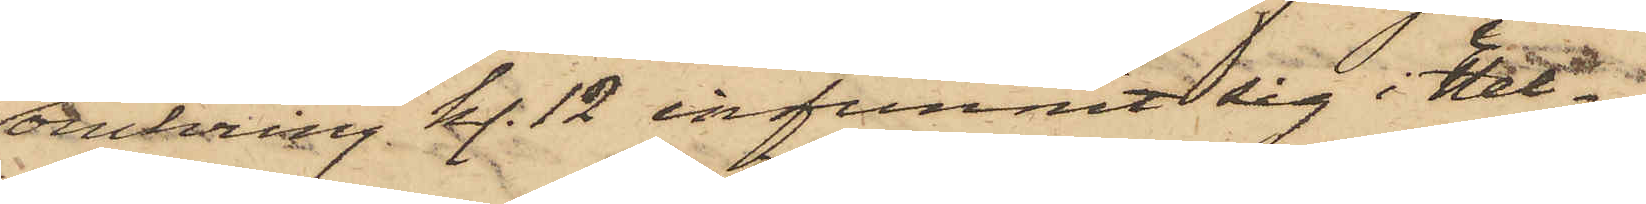omkring kl. 12 infunnit sig i Hel¬
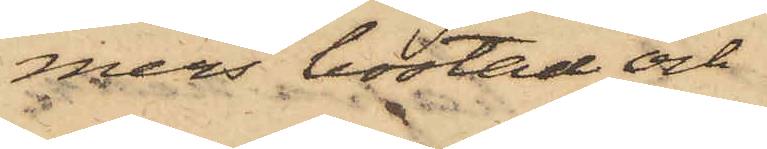mers bostad och
